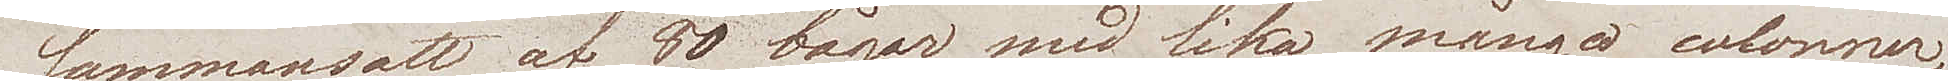sammansatt af 80 bågar med lika många colonner.
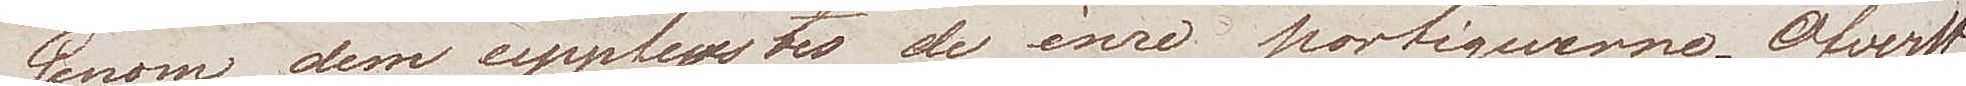Genom dem upplystes de inre portiquerne. Öfverst
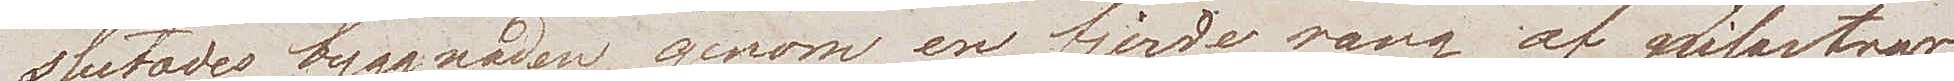slutades byggnaden genom en fjerde rang af pilastrar
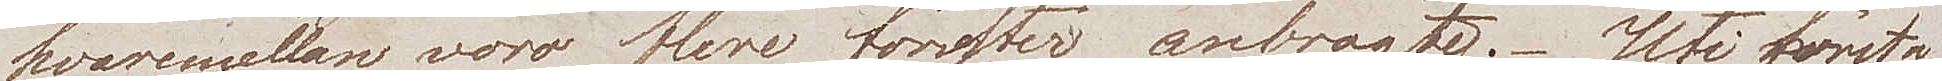hvaremellan voro flere fönster anbragte. Uti första
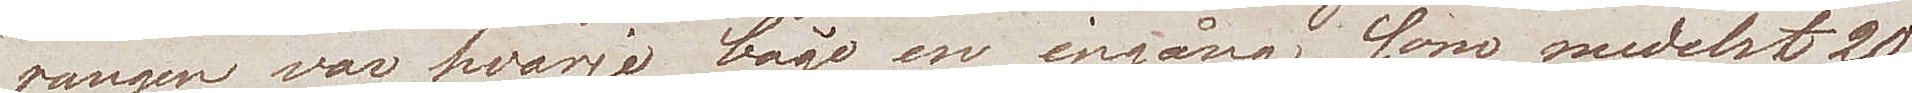rangen, var hvarje båge en ingång, som medelst 20
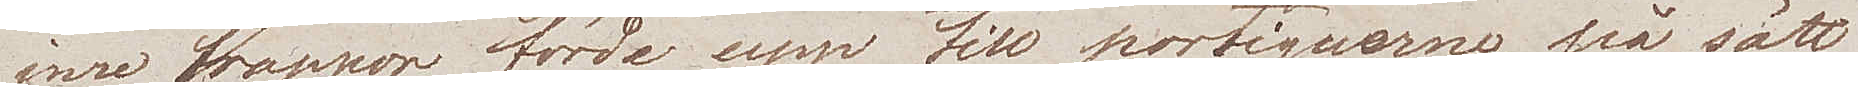inre trappor förde upp till portiquerne, på sätt
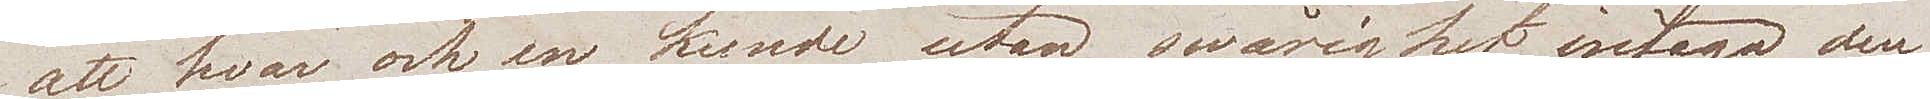att hvar och en, kunde utan swårighet intaga den
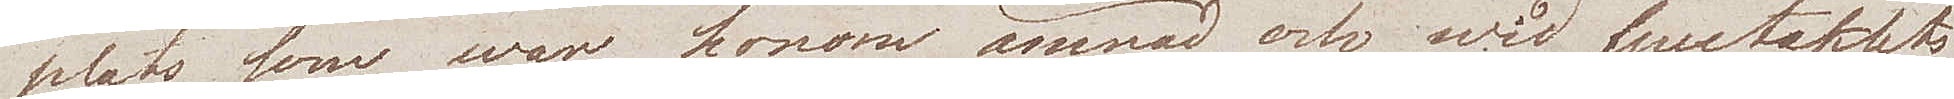plats som war honom ämnad, och wid spectaklets
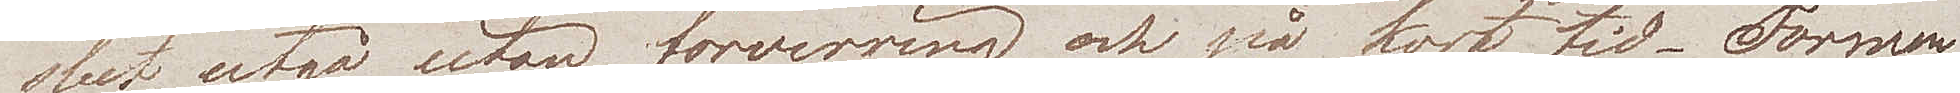slut, utgå utan förvirring och på kort tid. Formen
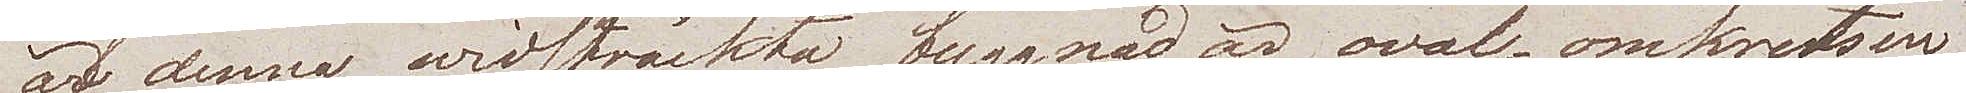af denna widsträckta byggnad är oval, omkretsen
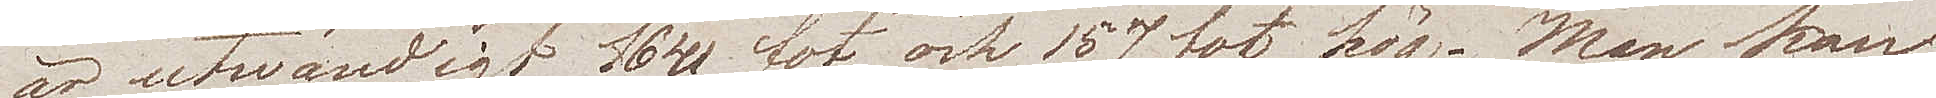är utwändigt 1640 fot och 157 fot hög. Man kan
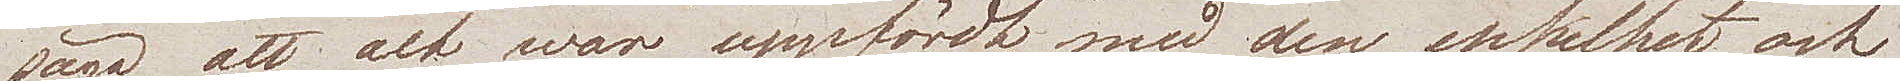säga att alt war uppfördt, med den enkelhet och
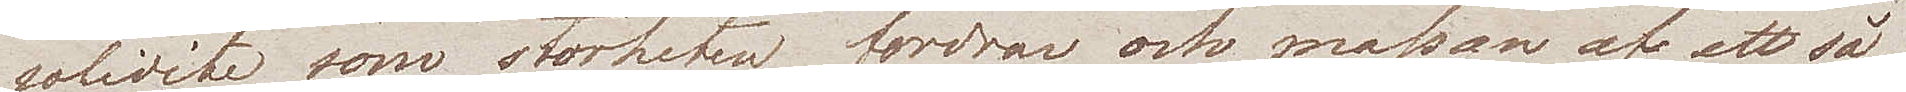solidité, som storheten fordrar, och massan af ett så
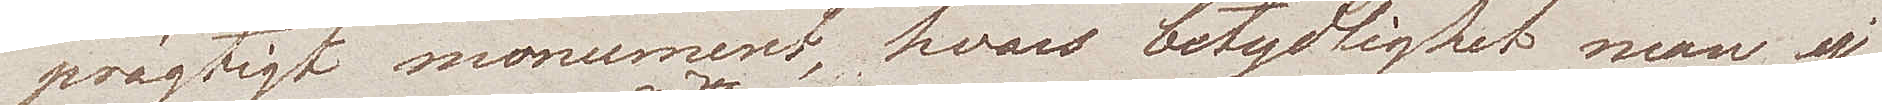prägtigt monument, hvars betydlighet man ej
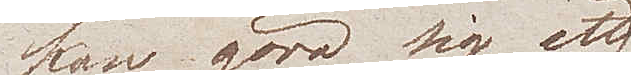kan göra sig ett
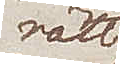rätt
